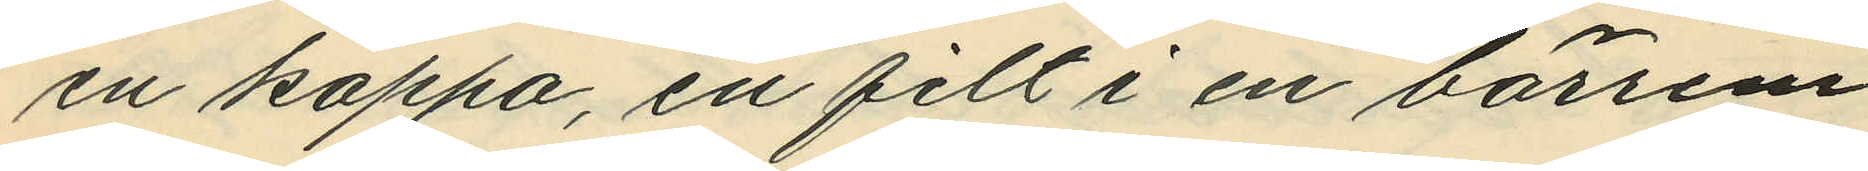en kappa, en filt i en bärrem
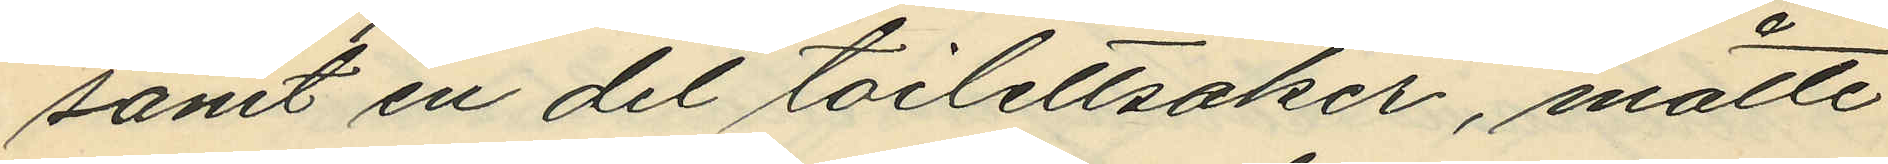samt en del toilettsaker, måtte
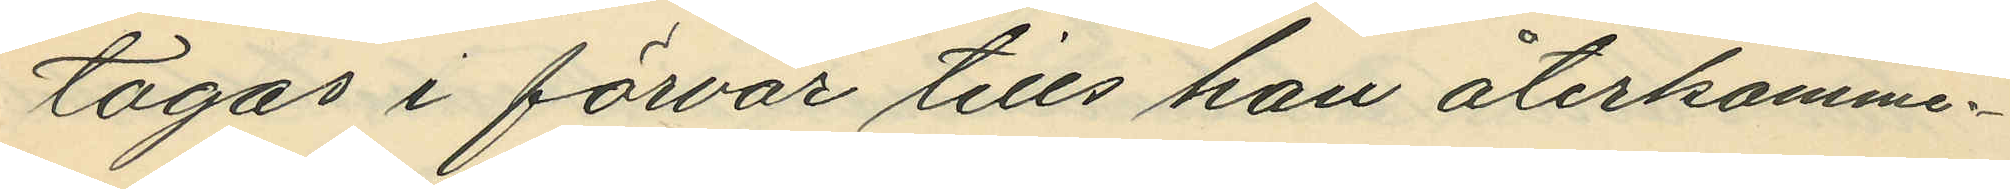tagas i förvar tills han återkomme.
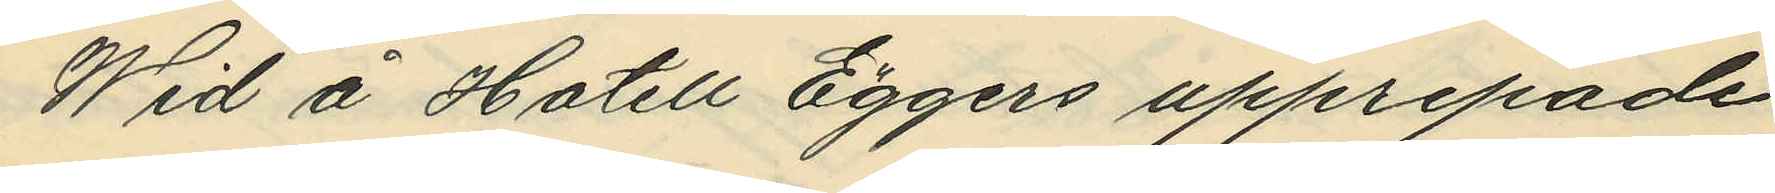Wid å Hotell Eggers upprepade
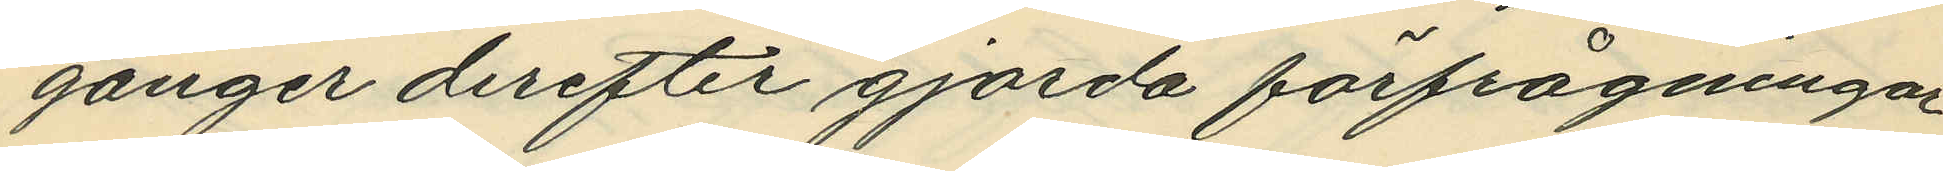gånger derefter gjorda förfrågningar
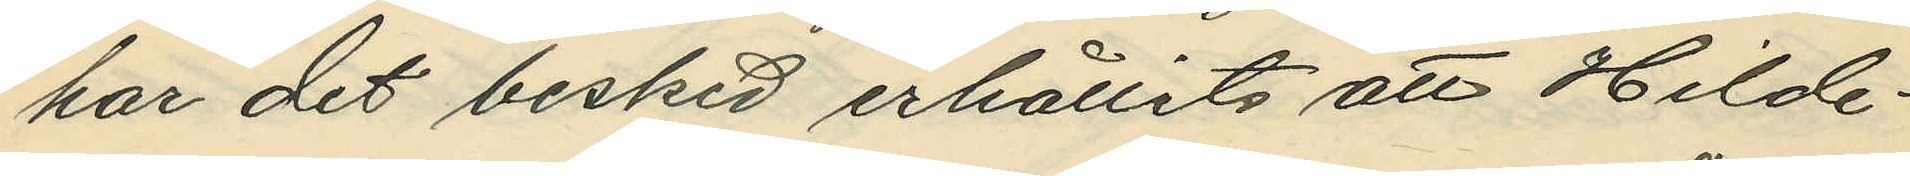har det besked erhållits att Hilde¬
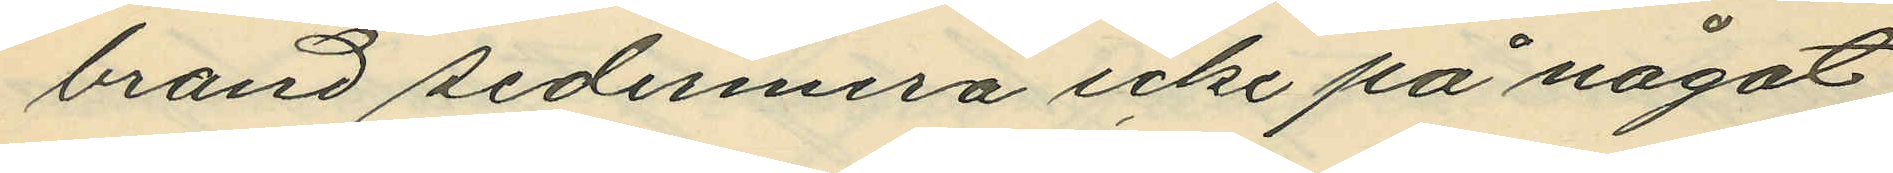brand sedermera icke på något
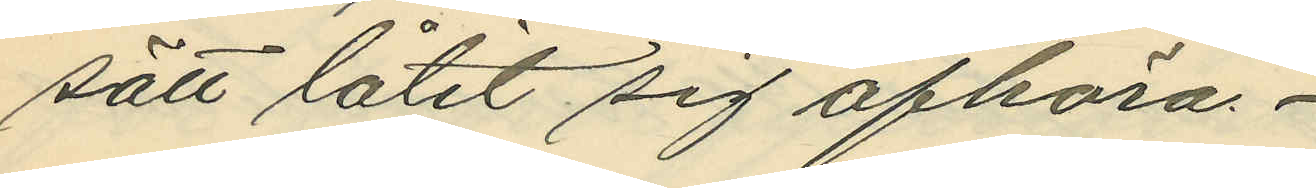sätt låtit sig afhöra.
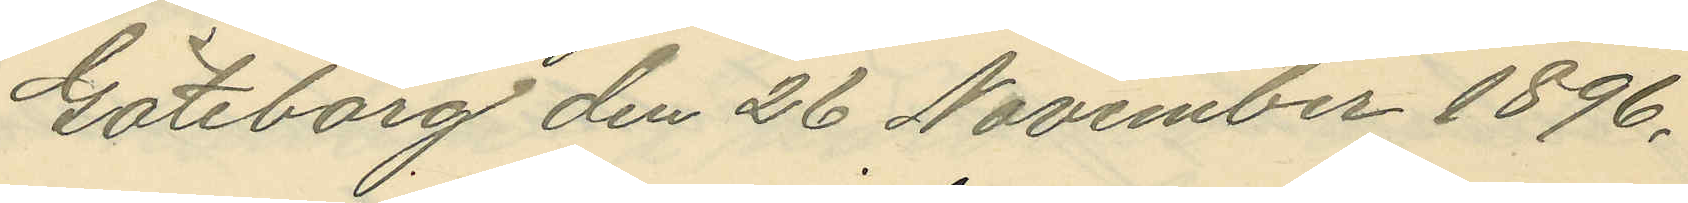Göteborg den 26 November 1896.
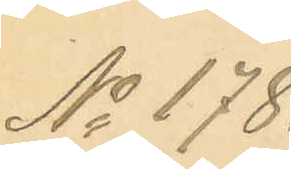No 178.
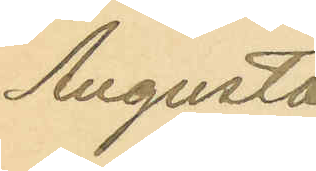Augusta
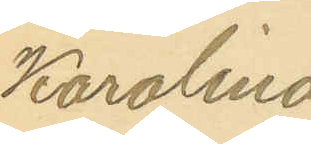Karolina
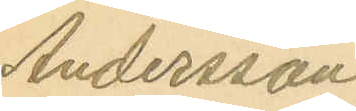Andersson
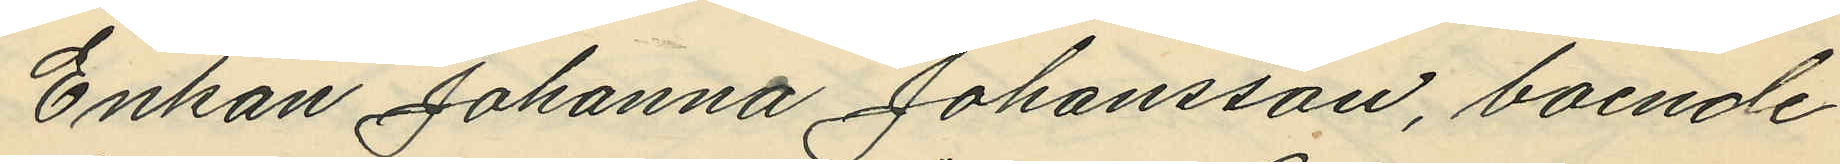Enkan Johanna Johansson, boende
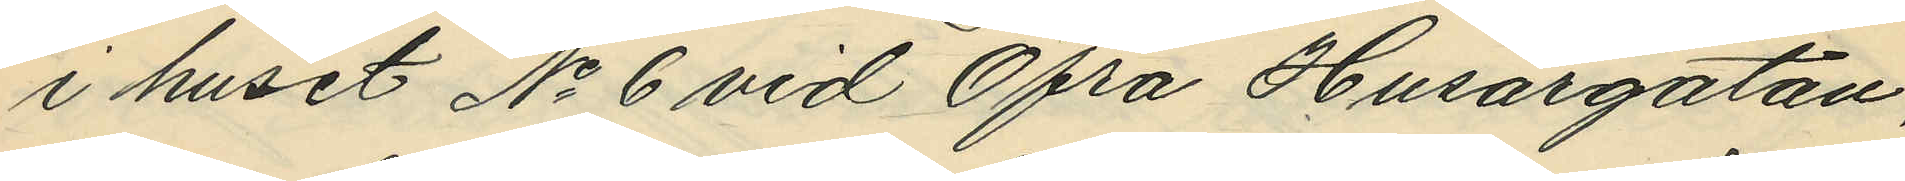i huset No 6 vid Öfra Husargatan,
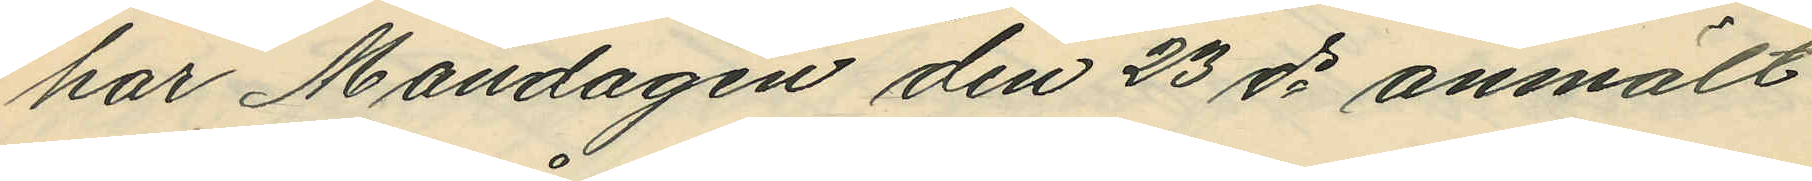har Måndagen den 23 ds anmält
